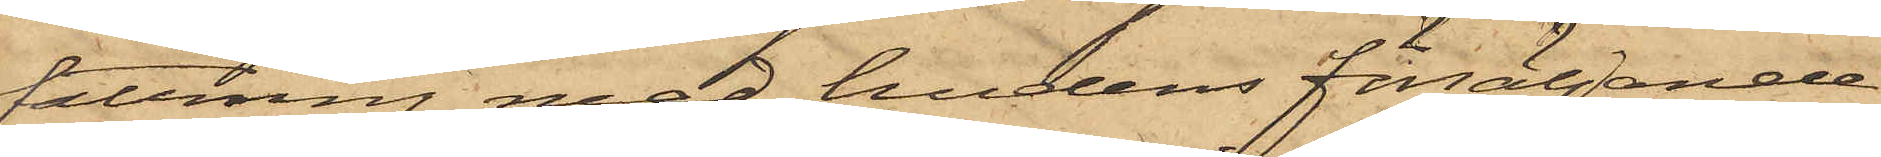fattning med hudens försäljande
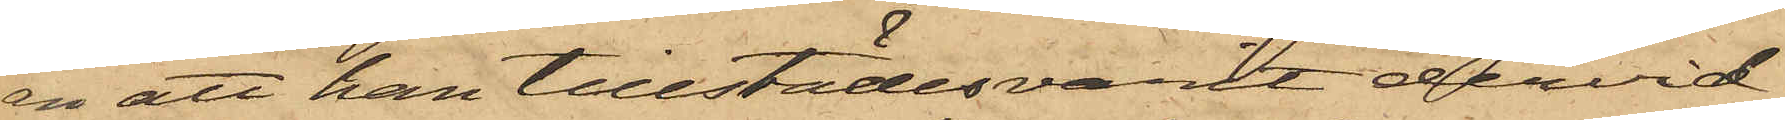än att han tillstädesvarit dervid.
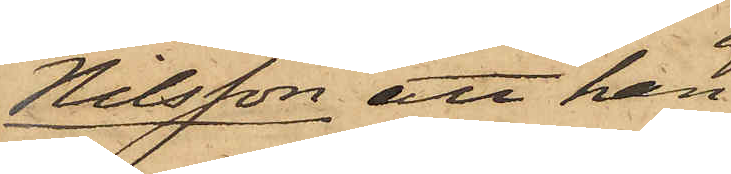Nilsson att han
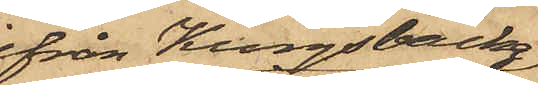från Kungsbacka
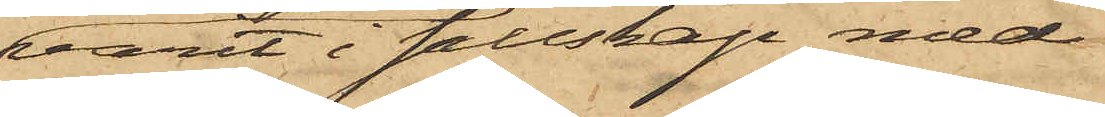varit i sällskap med
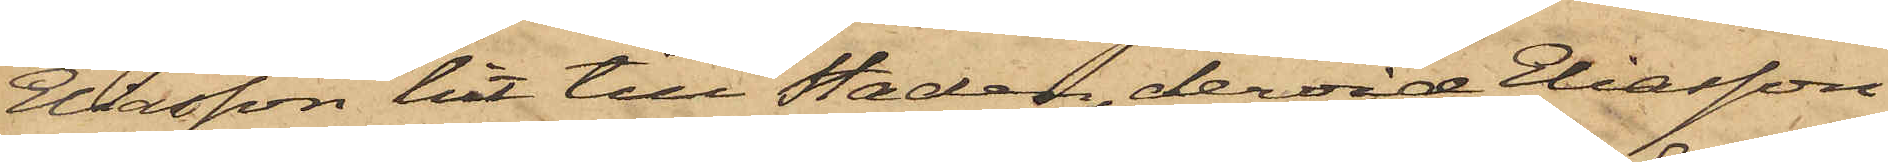Eliasson hit till Staden, dervid Eliasson
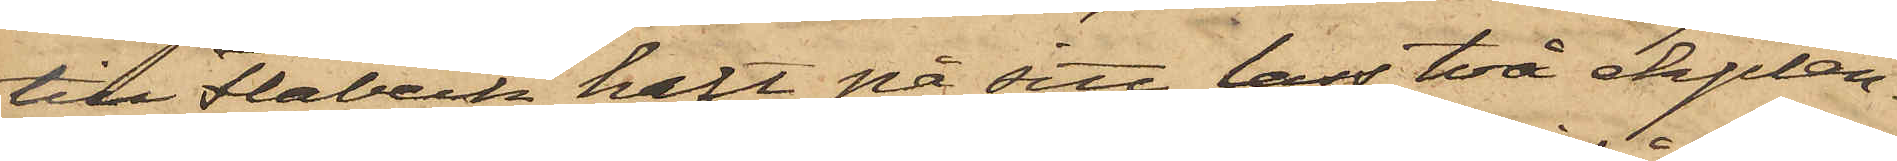till Flabeck haft på sitt lass två ekplan¬
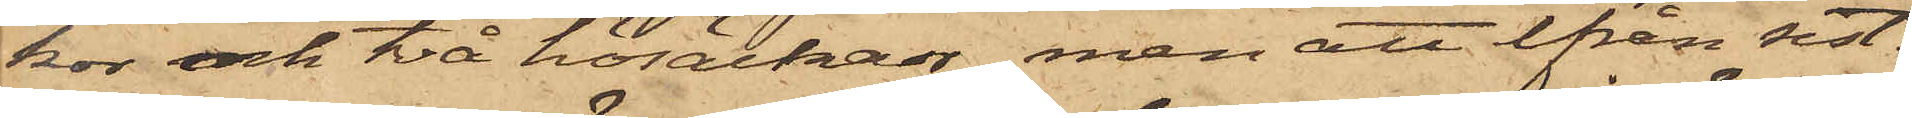kor och två hösäckar, men att från sist¬
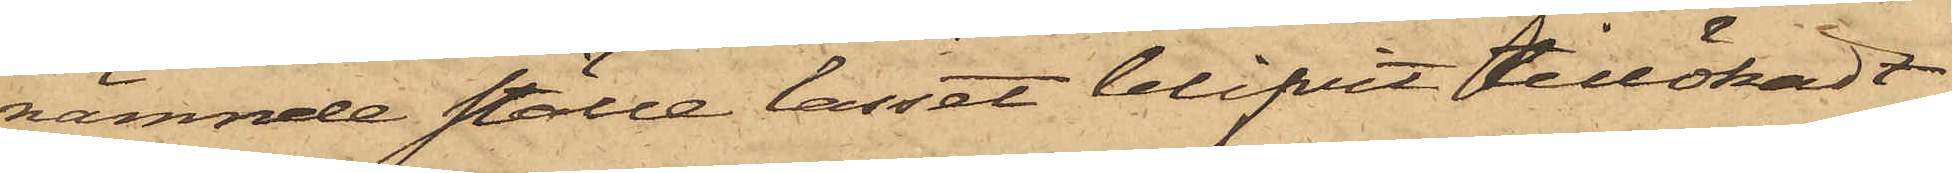nämnde ställe lasset blifvit tillökadt
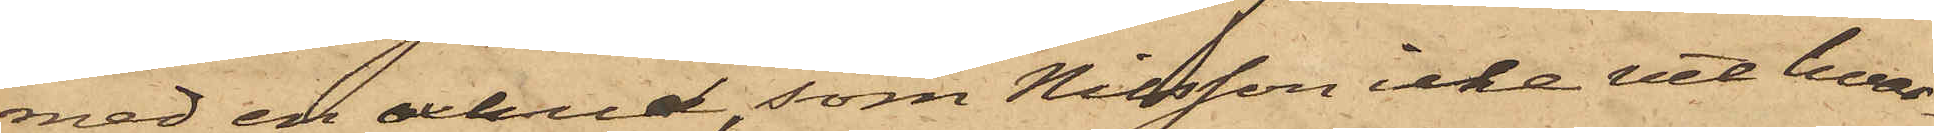med en oxhud, som Nilsson icke vet hvar¬
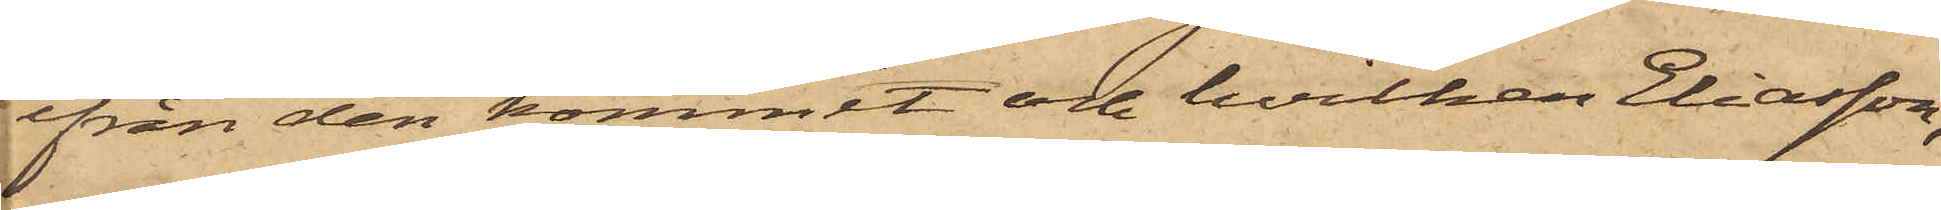från den kommit och hvilken Eliasson,
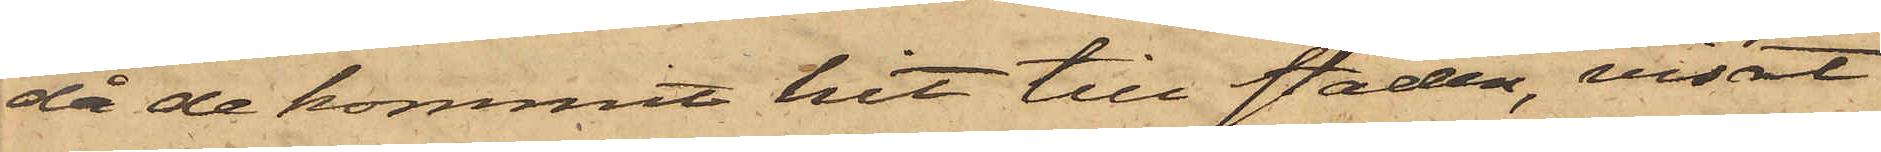då de kommit hit till staden, visat
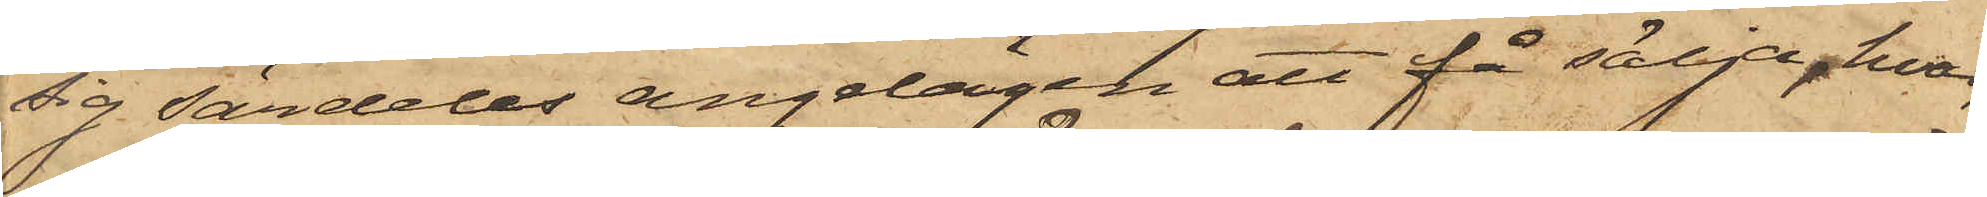sig särdeles angelägen att få sälja, hvar¬
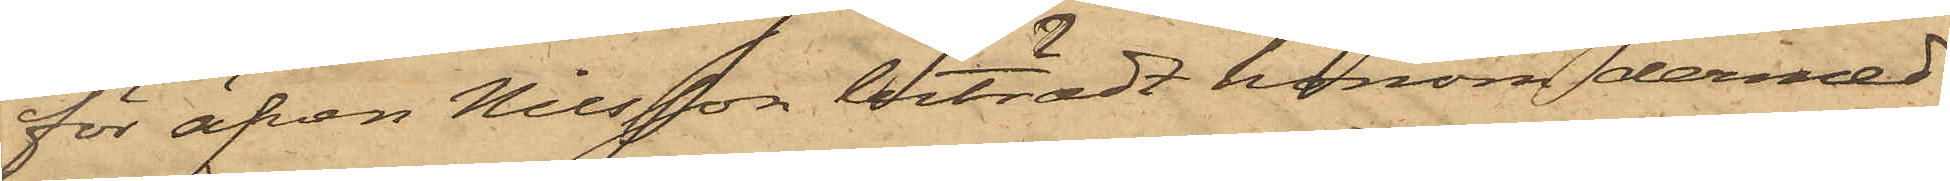för äfven Nilsson biträdt honom dermed
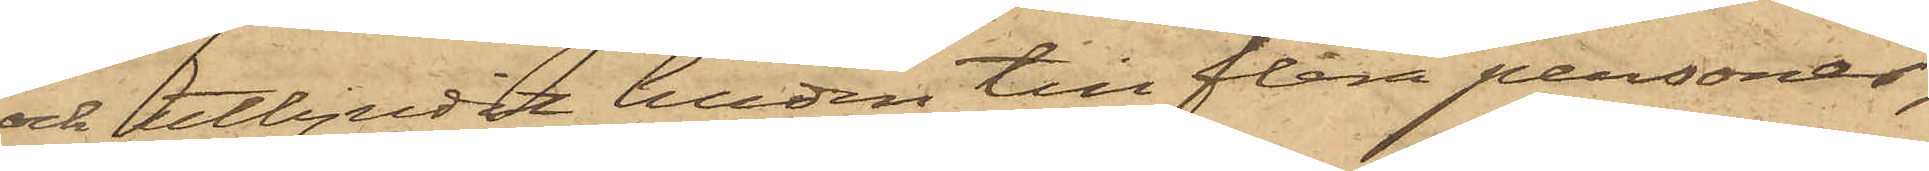och utbjudit huden till flera personer;
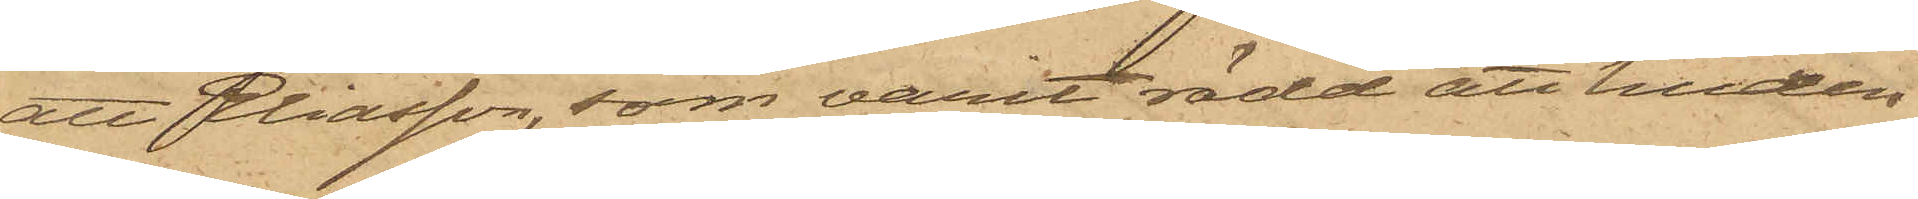att Eliasson, som varit rädd att huden
